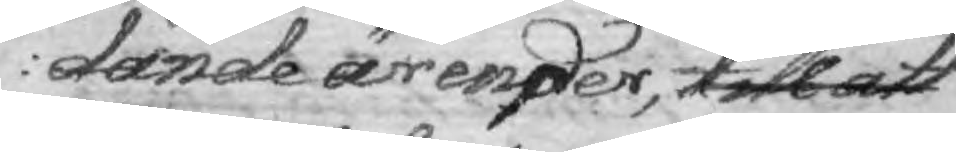dande ärender, till att
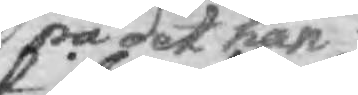på det han
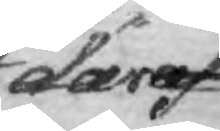däraf
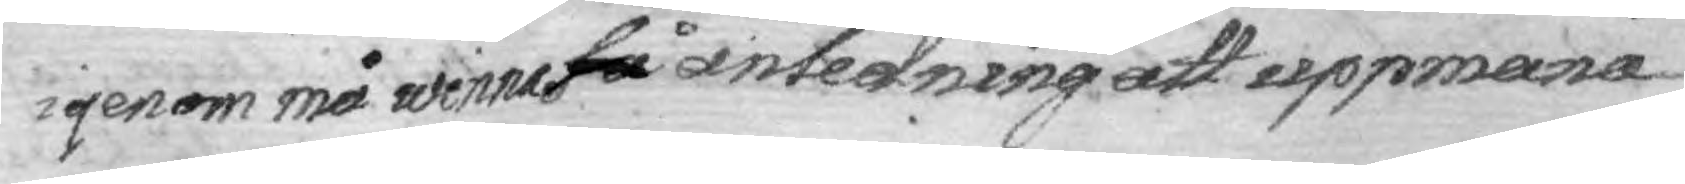igenom må winna så anledning att uppmana
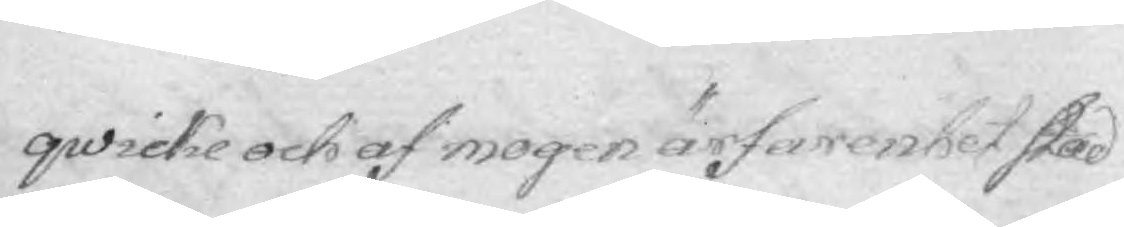qwicke och af mogen ärfarenhet stad¬
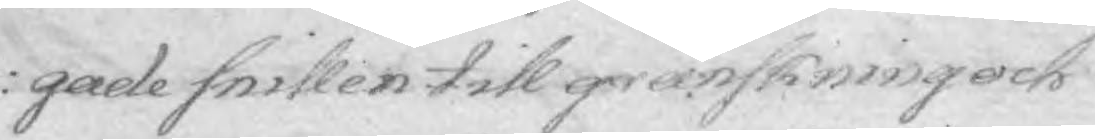gade snillen till granskning och
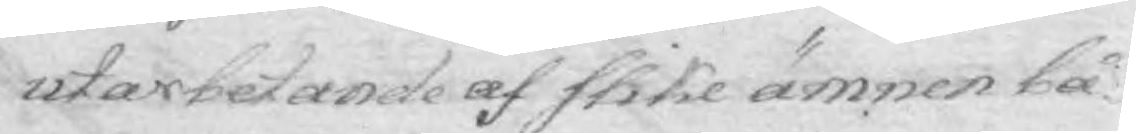utarbetande af slike ämnen bå¬
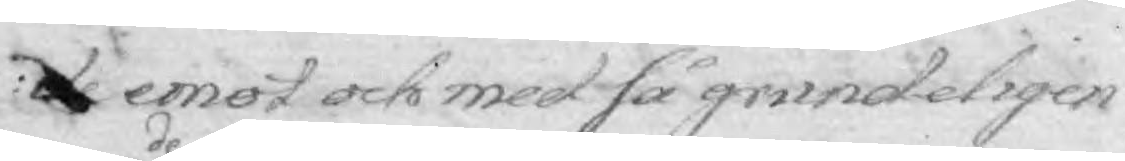de emot och med så grundeligen
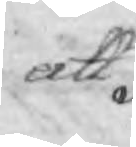att
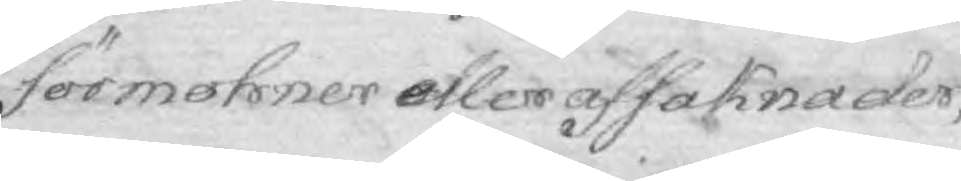förmohner eller afsaknader
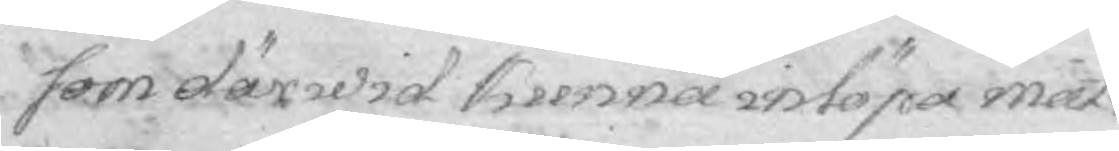som därwid kunna införa måt¬
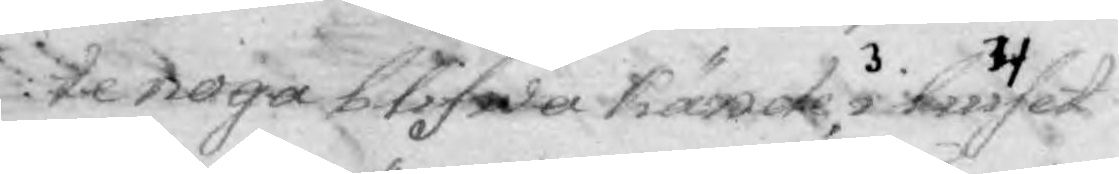te noga blifwa kände, i liuset 
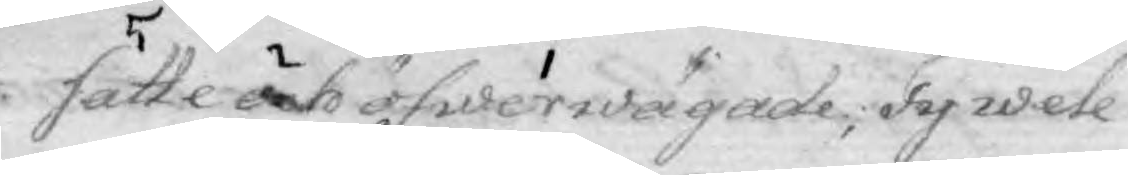satte och öfwerwägade öfwerwägade och i liuset satte; Ty wele
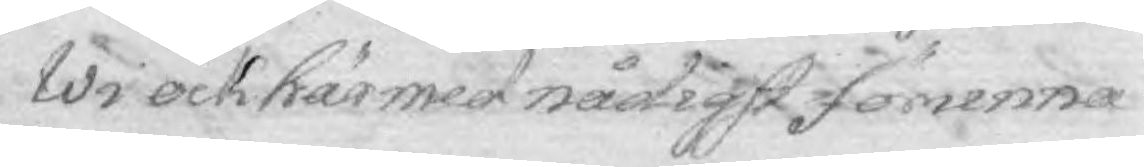Wi ock härmed nådigst förunna
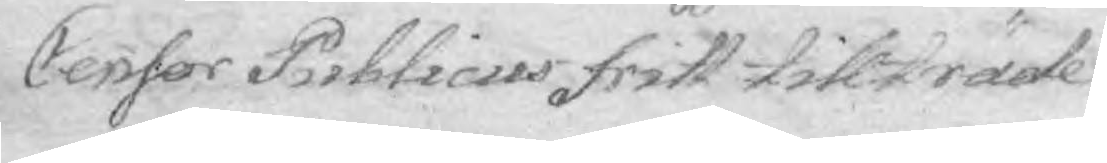Censor Publicus fritt tillträde
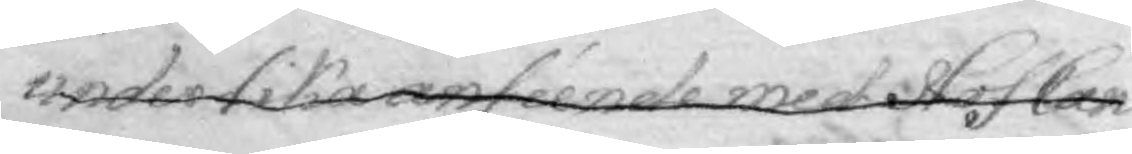under lika anséende med Hof Can¬
